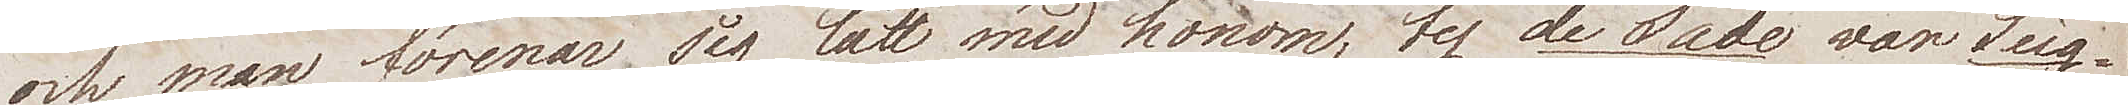och man förenar sig lätt med honom, ty de Sade var Seig¬
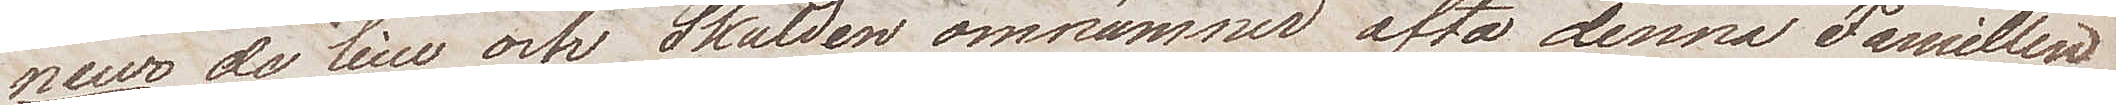neur de lieu och Skalden omnämner ofta denna Famillen
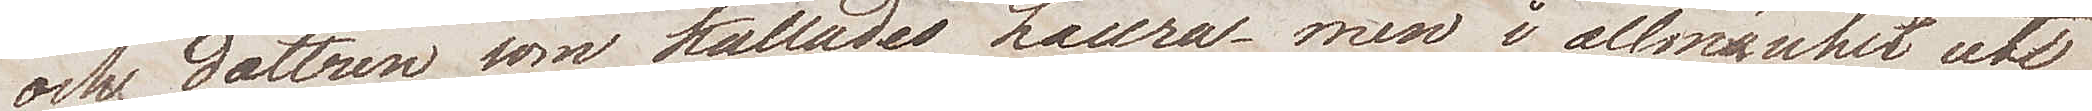och dottren som kallades Laura – men i allmänhet uti
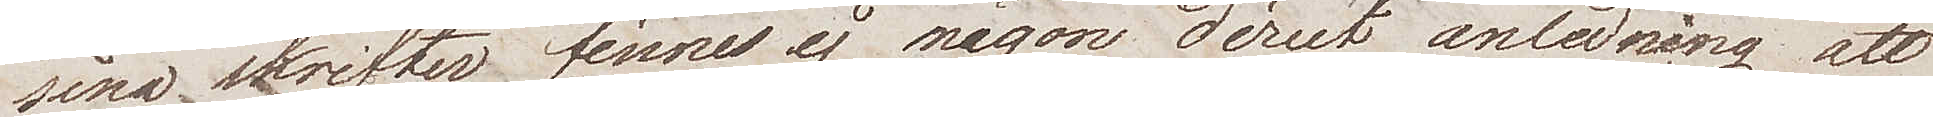sina skrifter finns ej någon direct anledning att före¬
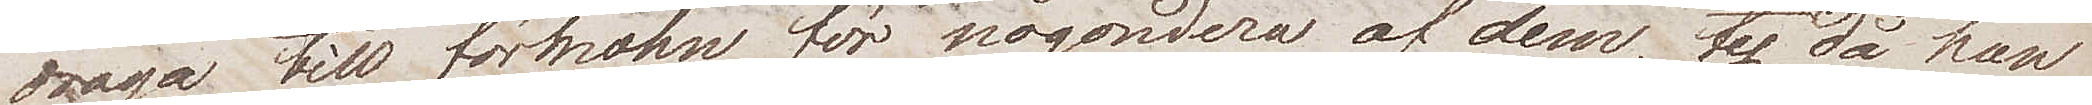draga till förmohn för någondera af dem, ty då han
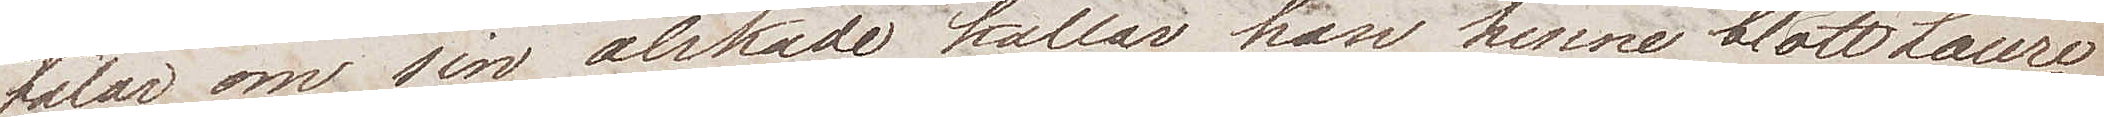talar om sin älskade kallar han henne blott Laura
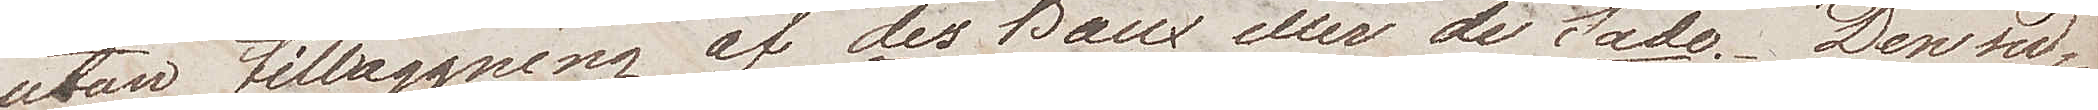utan tilläggning af des Baux eller de Sade. Den sed¬
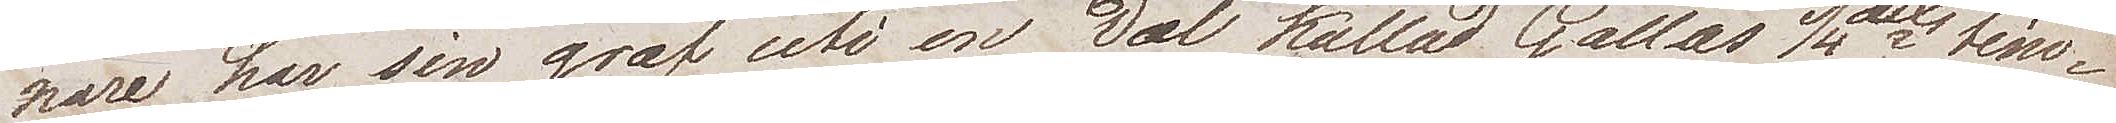nare har sin graf uti en Dal kallad Gallas 1/4 dels tim¬
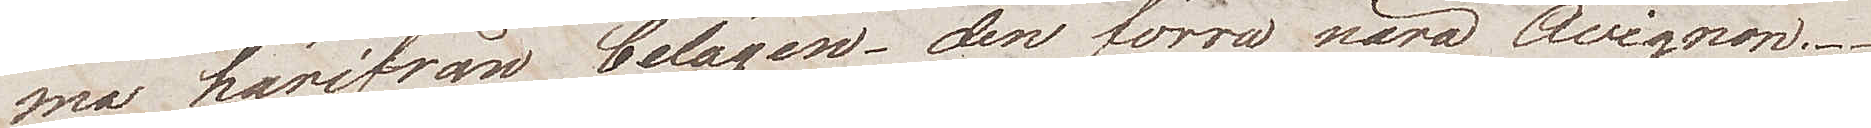ma härifrån belägen – den förra nära Avignon.
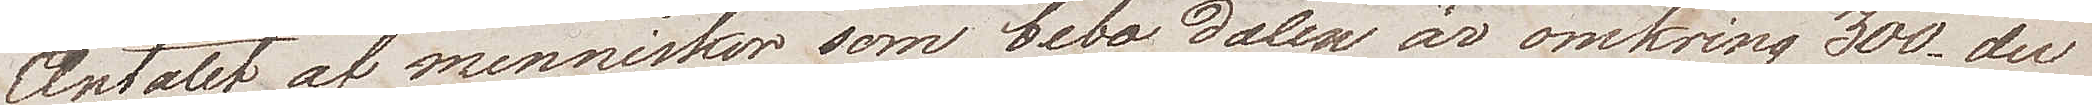Antalet af menniskor som bebo Dalen är omkring 300, der
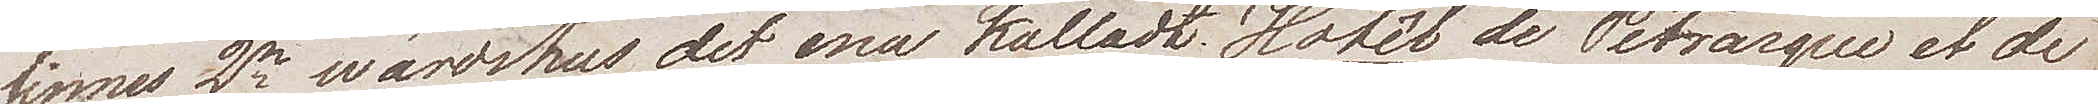finns 2ne wärdshus det ena kalladt Hotêl de Petrarque et de
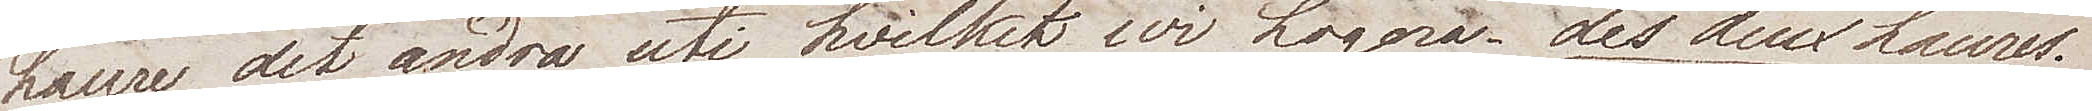Laura det andra uti hvilket vi Logera Les deux Laures.
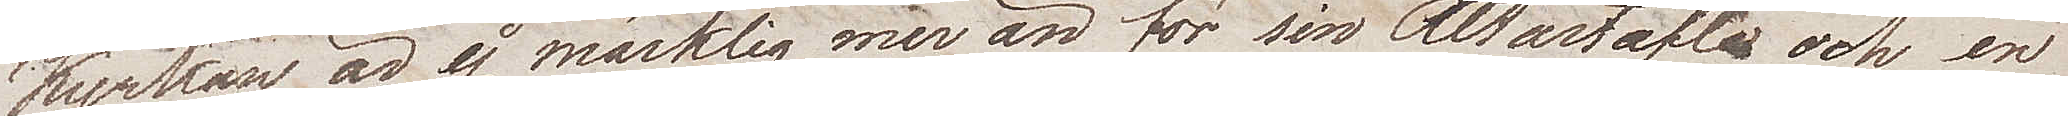Kyrkan är ej märklig mer än för sin altartafla och en
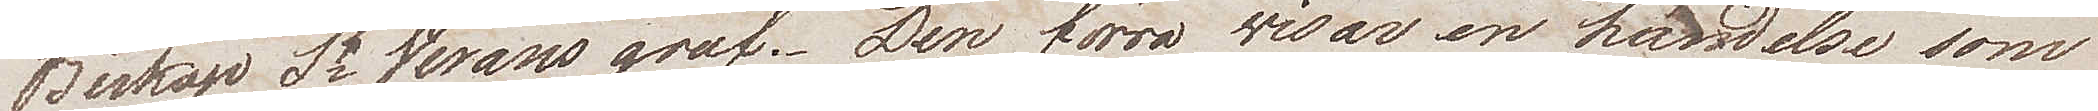Biskop St Verans graf. Den förra visar en händelse som
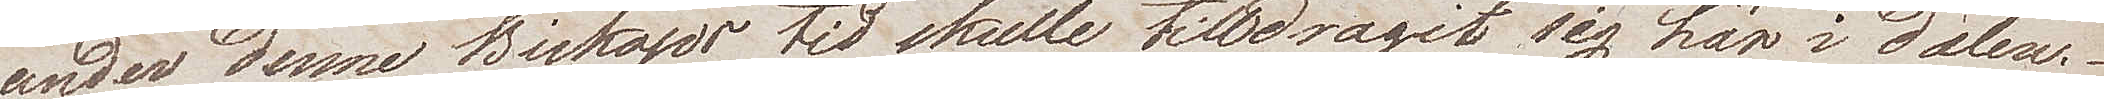under denne Biskops tid skulle tilldragit sig här i Dalen.
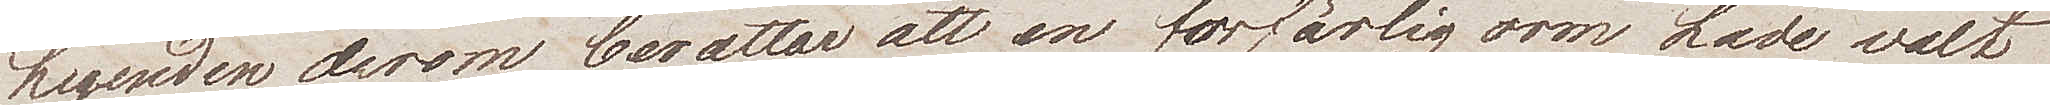Legenden derom berättar att en förfärlig orm hade valt
